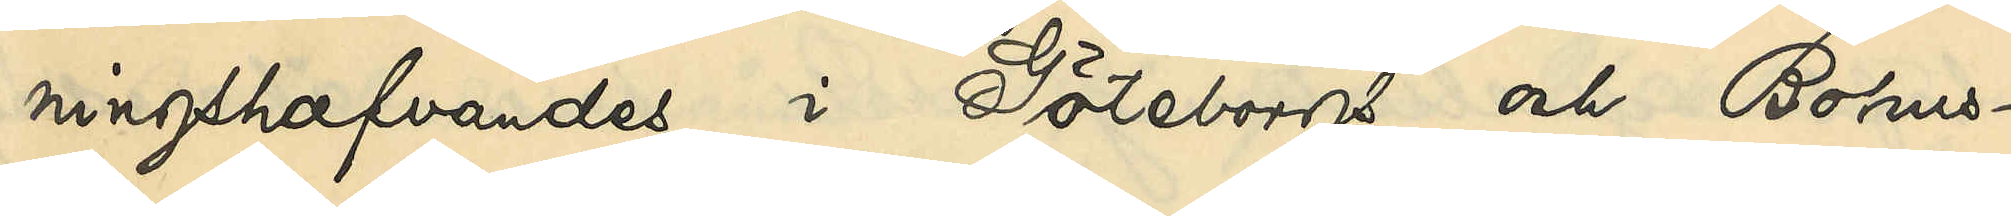ningshafvandes i Göteborg och Bohus¬
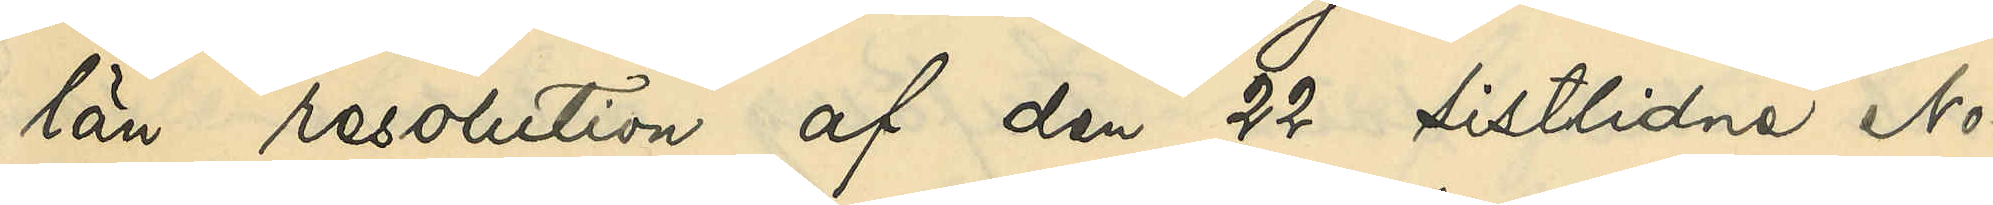län resolution af den 22 sistlidne No¬
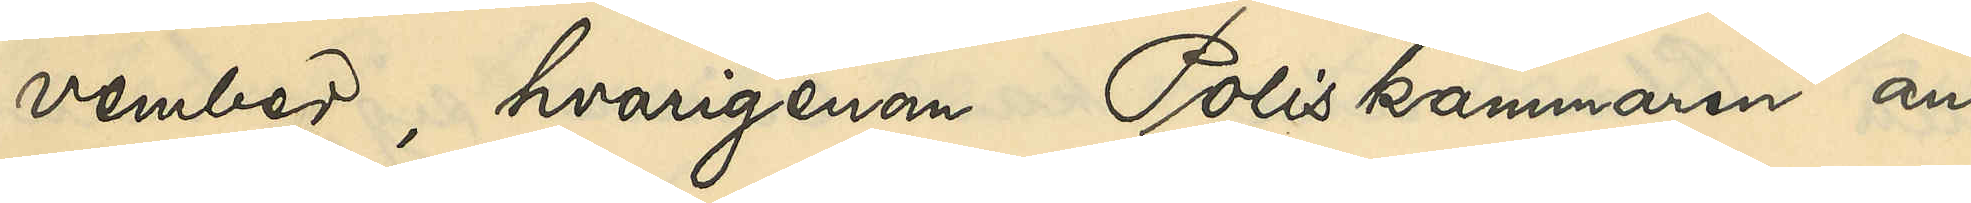vember, hvarigenom Poliskammaren an¬
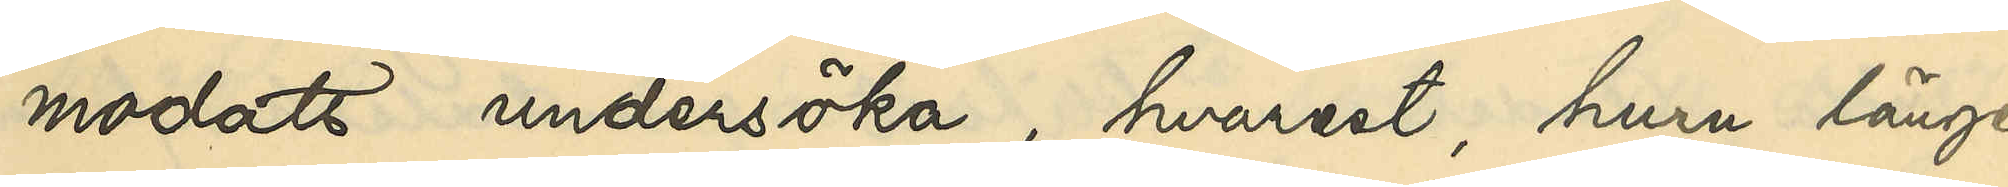modats undersöka, hvarest, huru länge
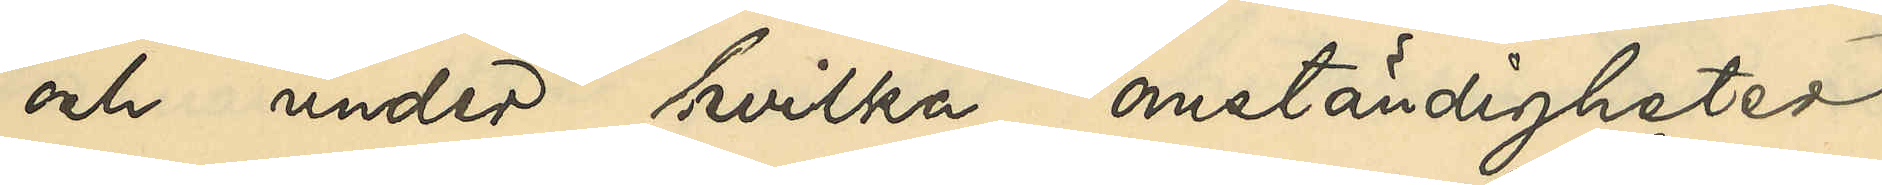och under hvilka omständigheter
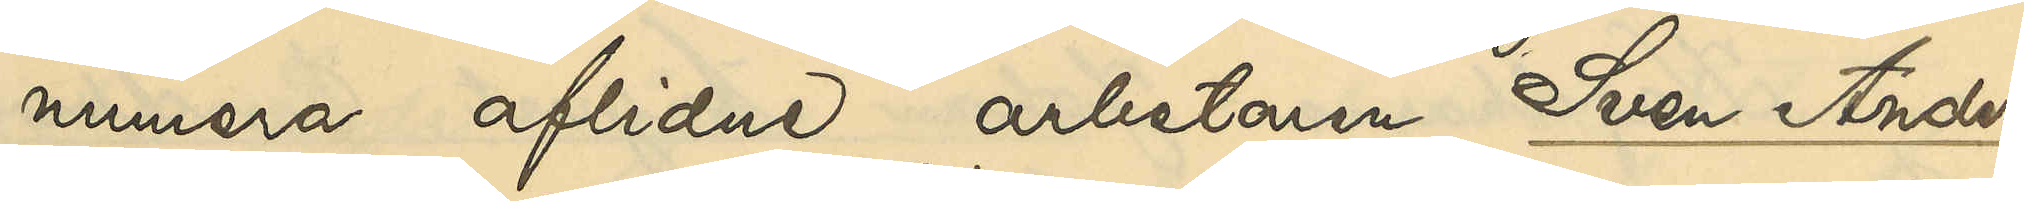numera aflidne arbetaren Sven Anders¬
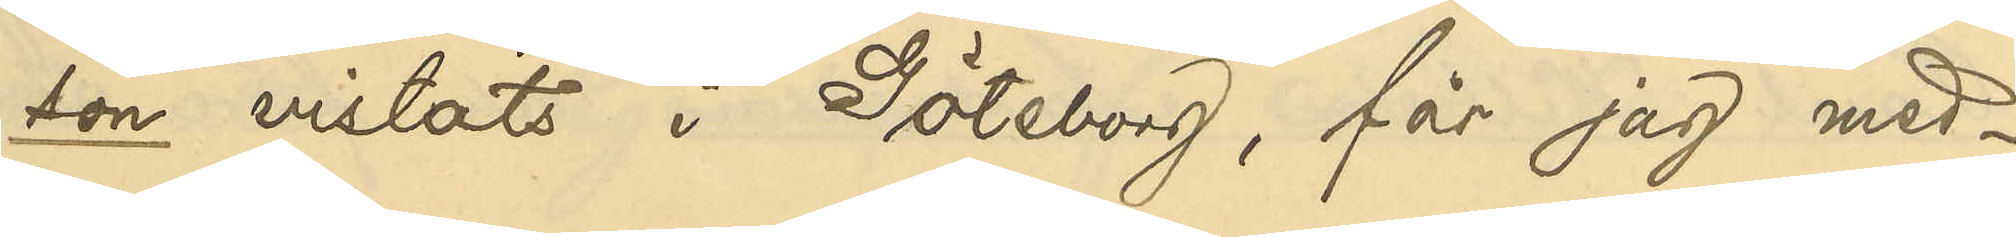son vistats i Göteborg, får jag med¬
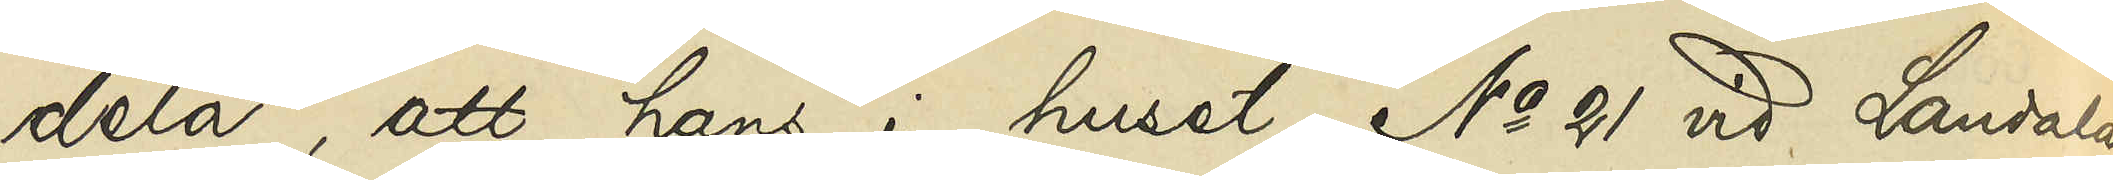dela, att hans i huset No 21 vid Landala¬
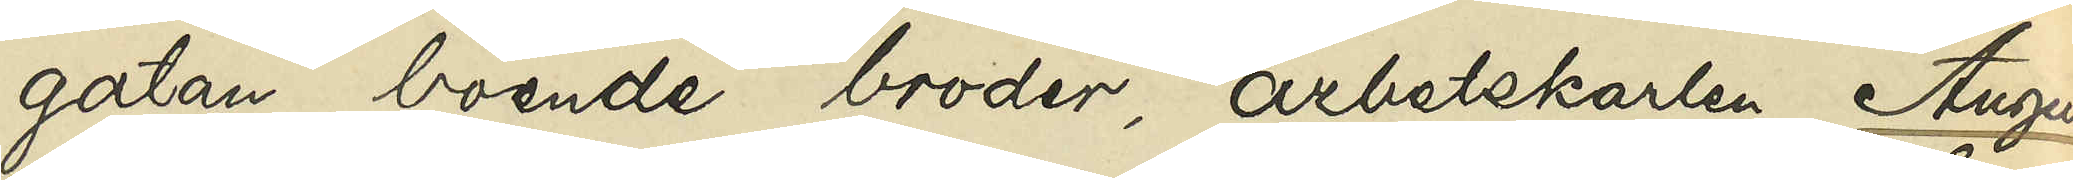gatan boende broder, arbetskarlen August
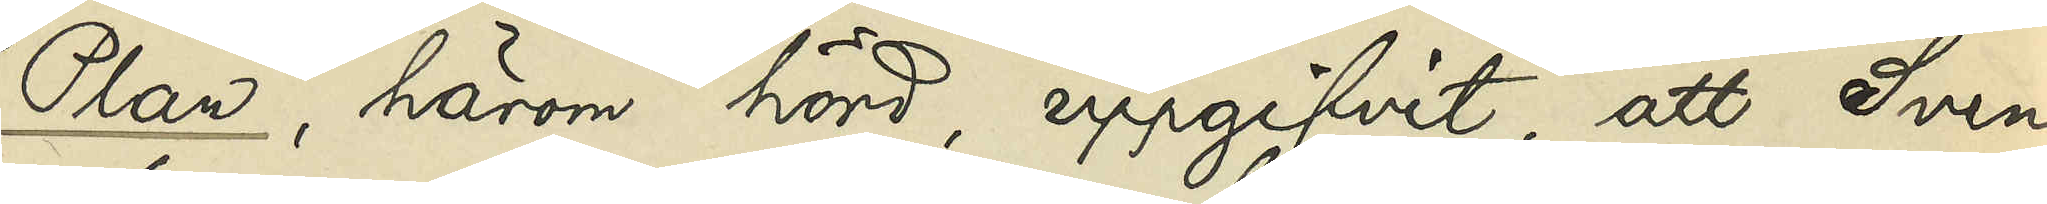Plan, härom hörd, uppgifvit, att Sven
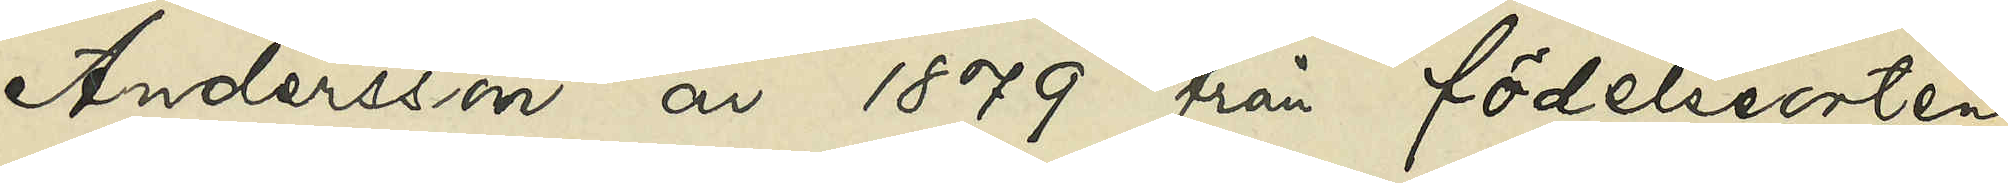Andersson år 1879 från födelseorten
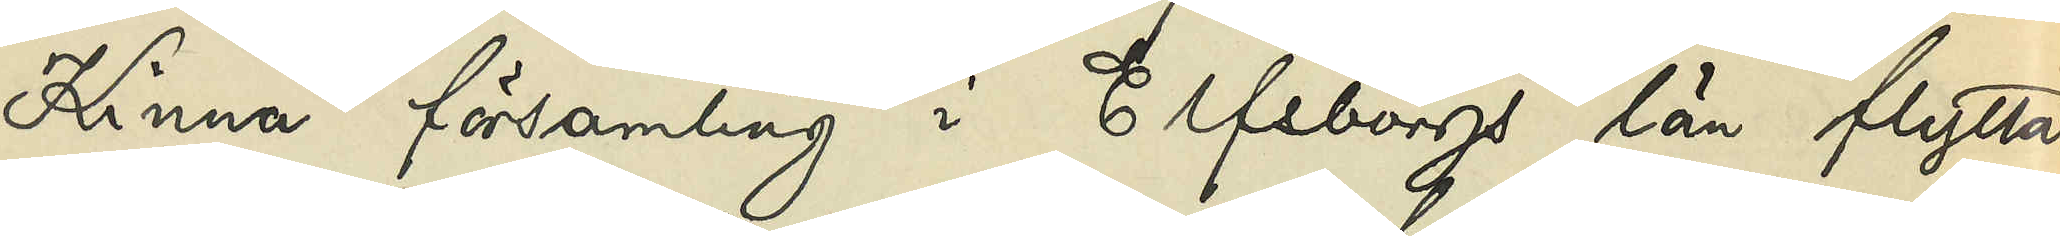Kinna församling i Elfsborgs län flyttat
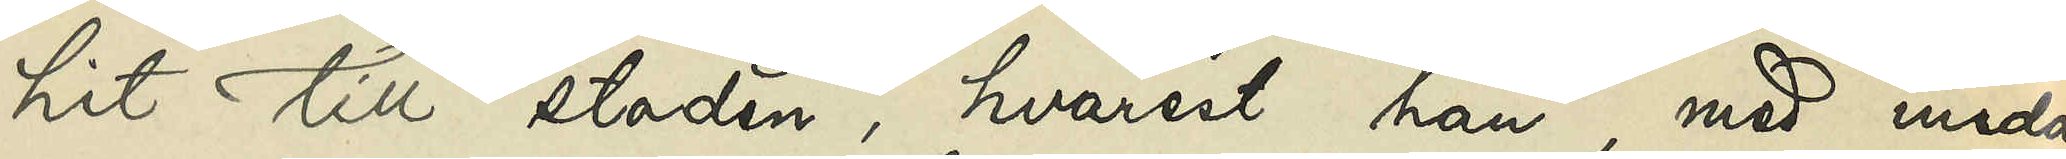hit till staden, hvarest han, med undan¬
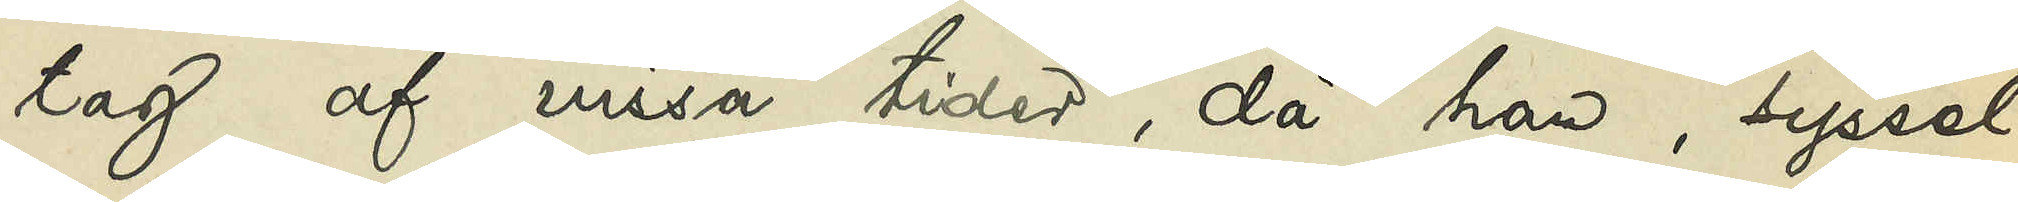tag af vissa tider, då han, syssel¬
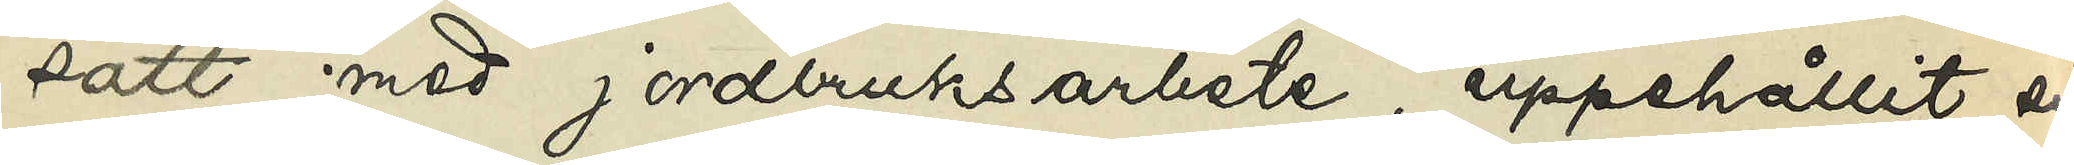satt med jordbruksarbete, uppehållit sig
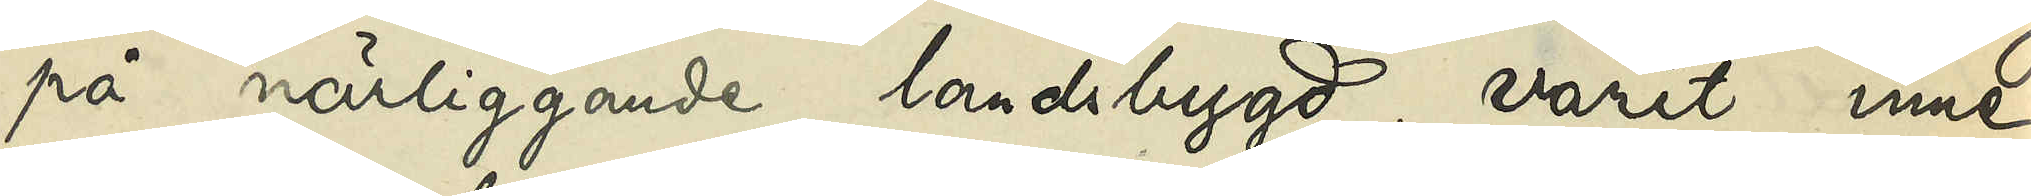på närliggande landsbygd, varit inne¬
